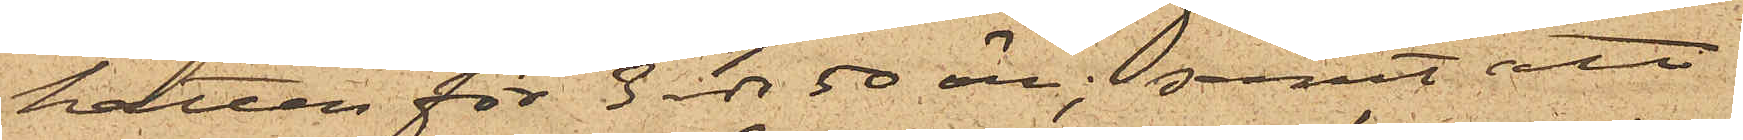hatten för 3 rdr 50 öre; samt att
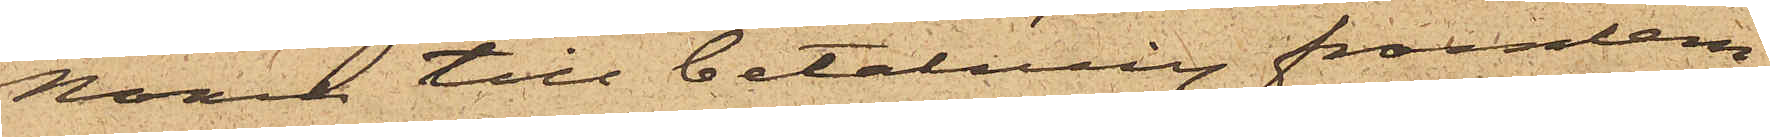Noach till betalning framlem¬
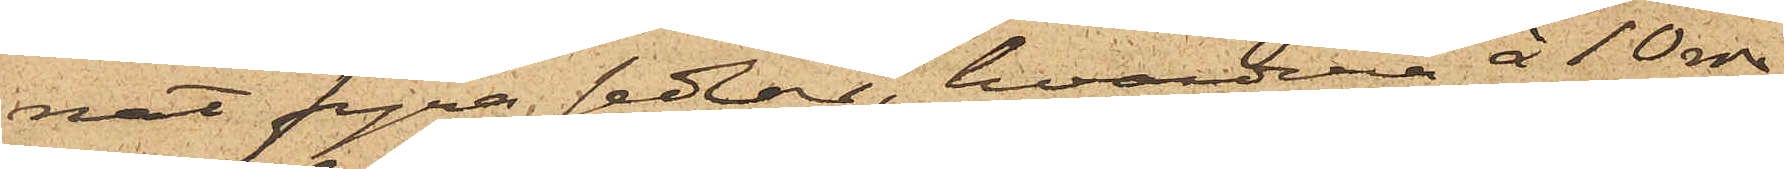nat fyra sedlar, hvardera å 10 rdr;
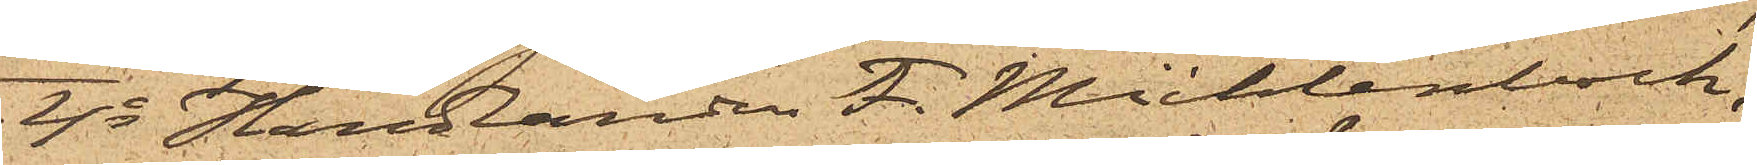4o Handlanden F. Mühlenbock,
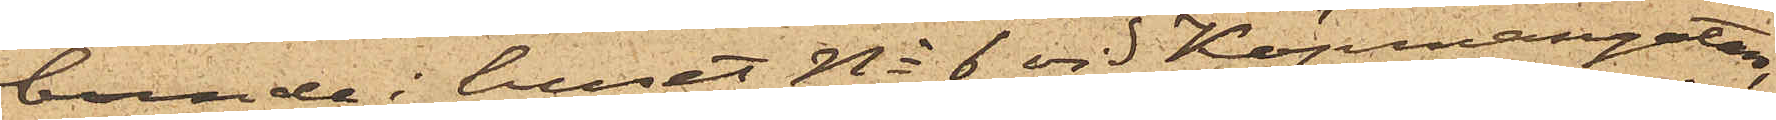boende i huset No 6 vid Köpmangatan,
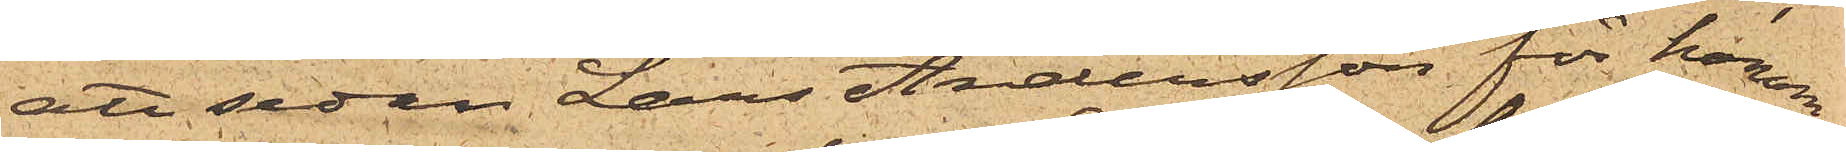att sedan Lars Andersson för honom
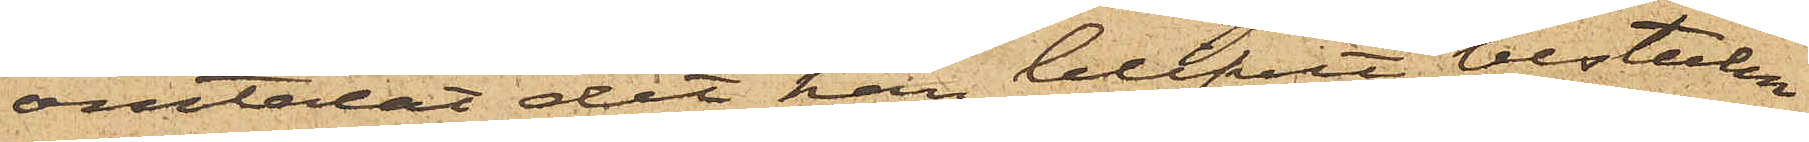omtalat det han blifvit bestulen
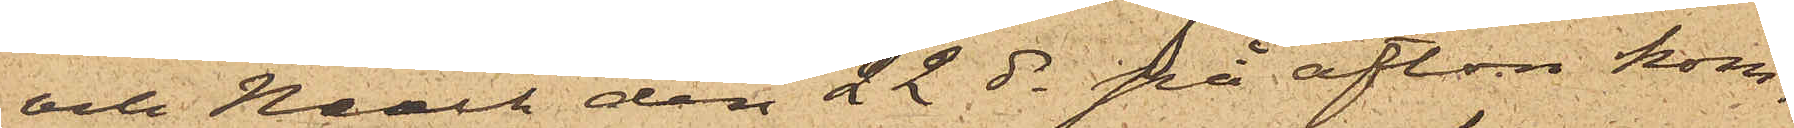och Noach den 22 ds på afton kom¬
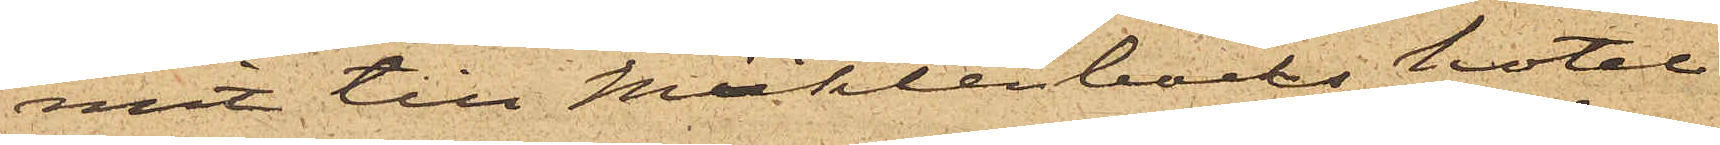mit till Mühlenbocks hotel
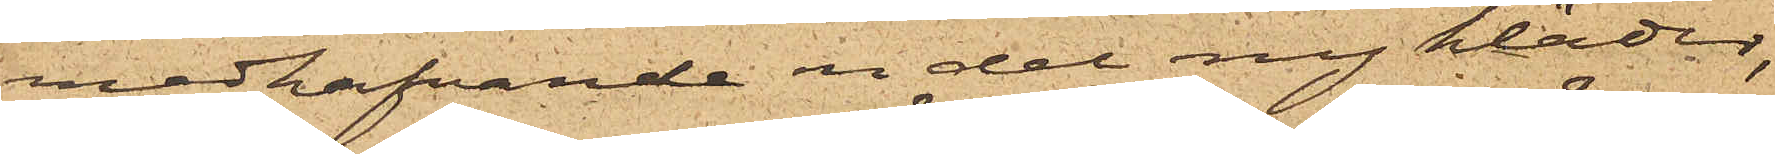medhafvande en del ny kläder,
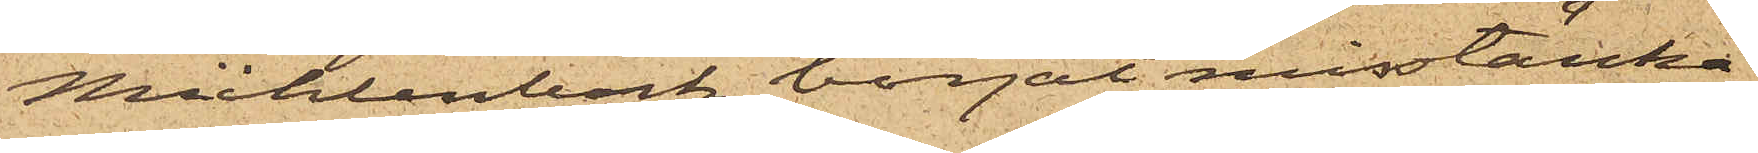Mühlenbock börjat misstänka
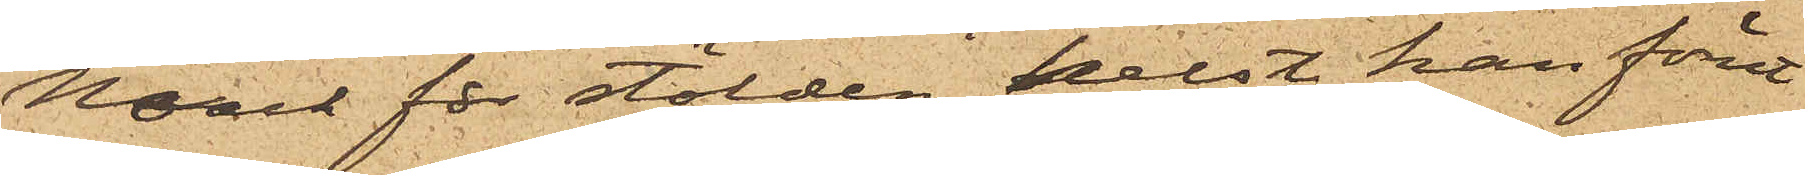Noach för stölden, helst han förut
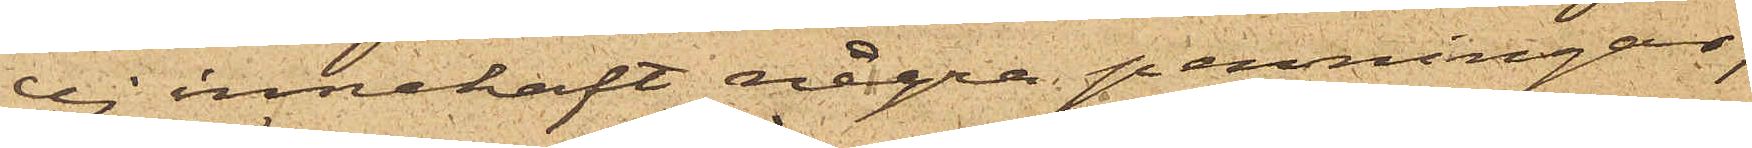ej innehaft några penningar;
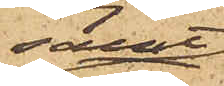samt
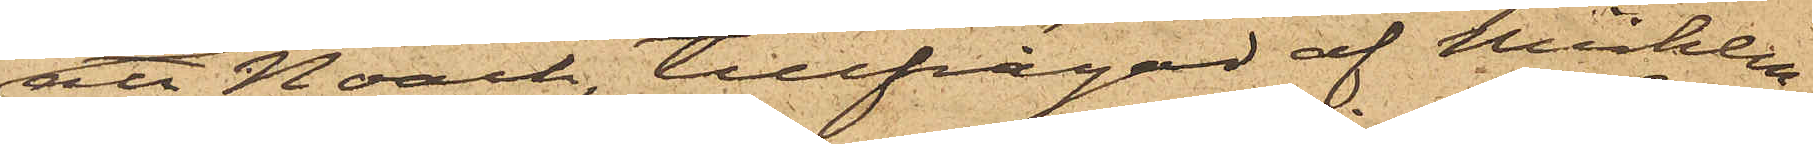att Noach, tillfrågad af Mühlen¬
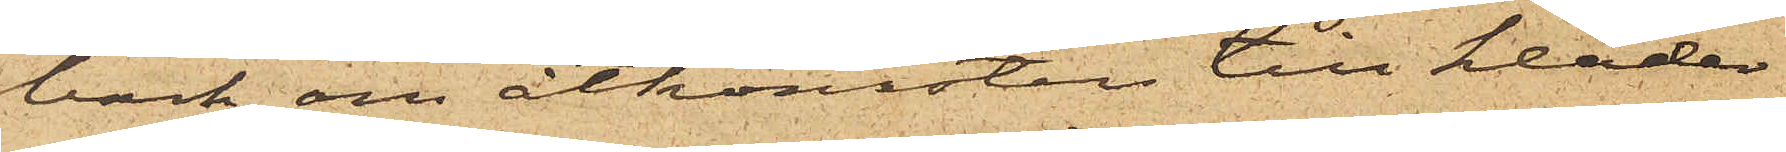bock om åtkomsten till kläder¬
